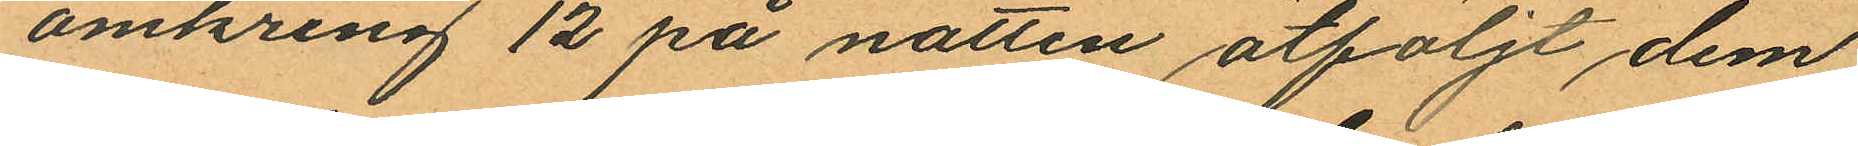omkring 12 på natten åtföljt dem
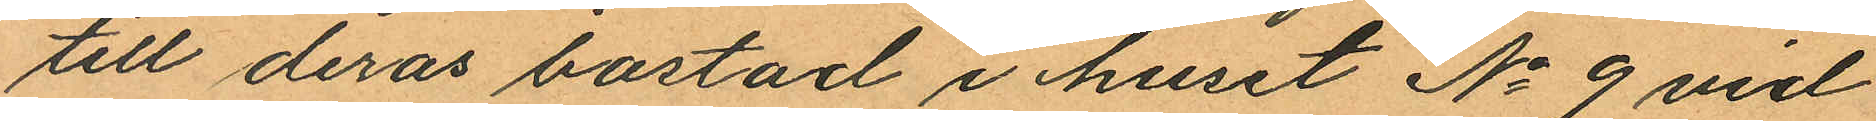till deras bostad i huset No 9 vid
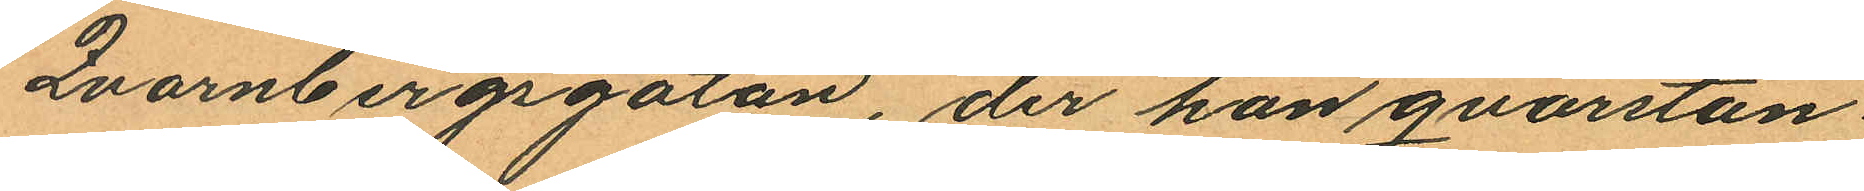Qvarnbergsgatan, der han qvarstan¬
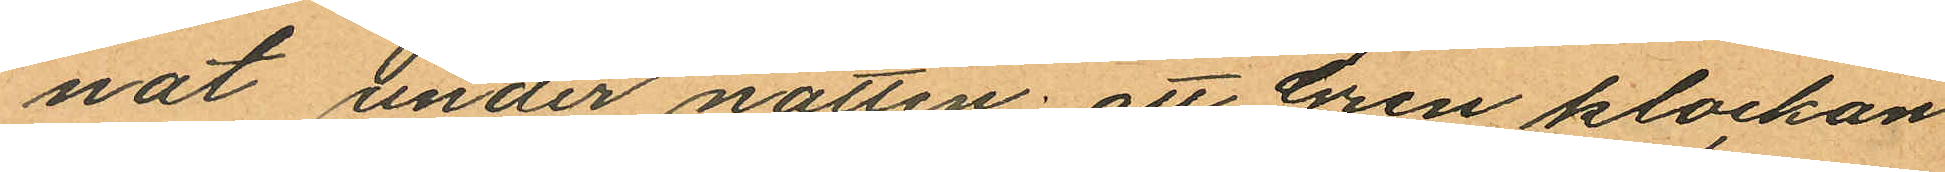nat under natten; att Gren klockan
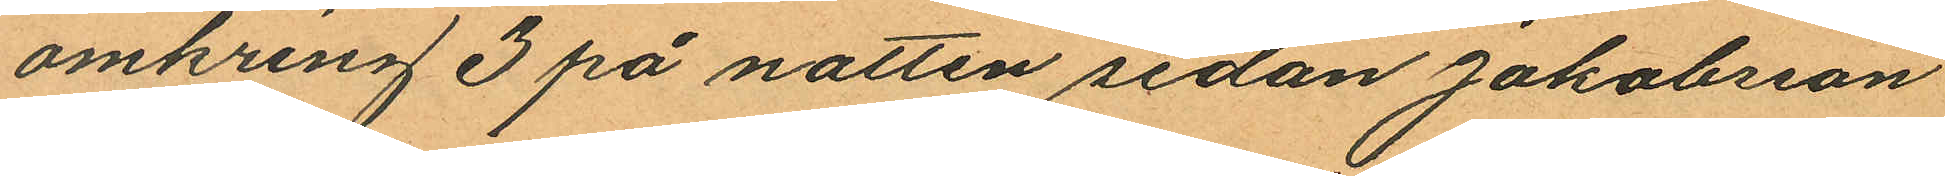omkring 3 på natten sedan Jakobsson
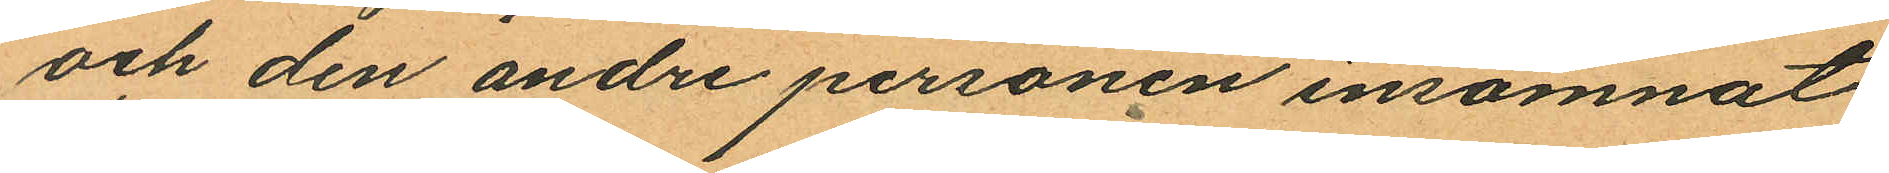och den andre personen insomnat
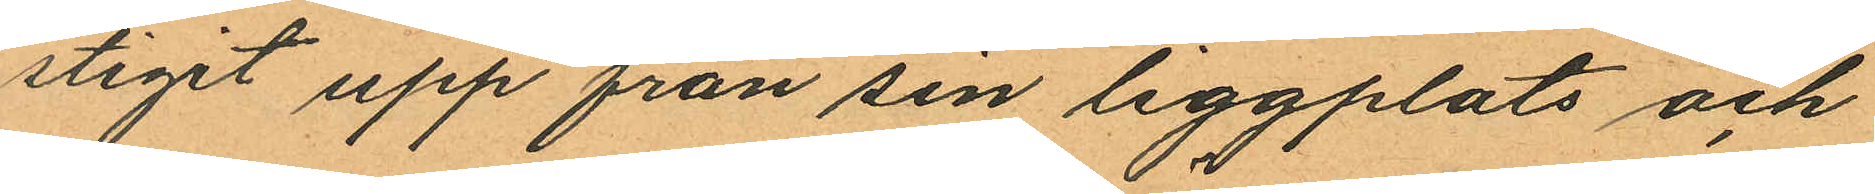stigit upp från sin liggplats och
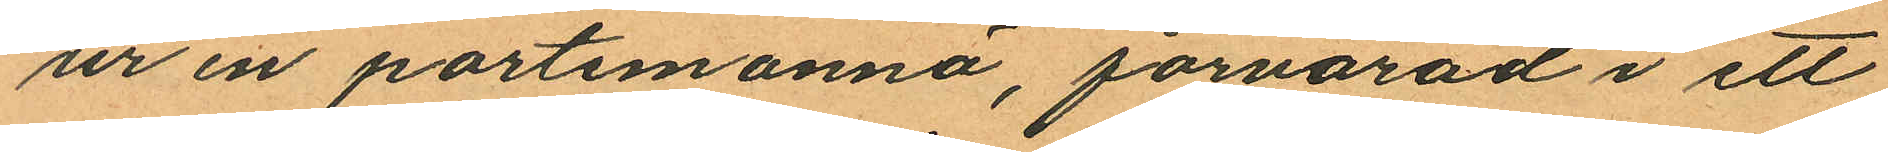ur en portemonnä, förvarad i ett
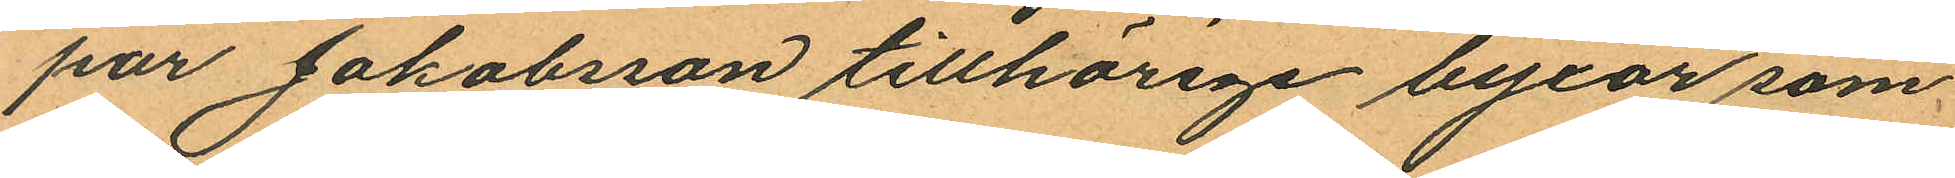par Jakobsson tillhörige byxor som
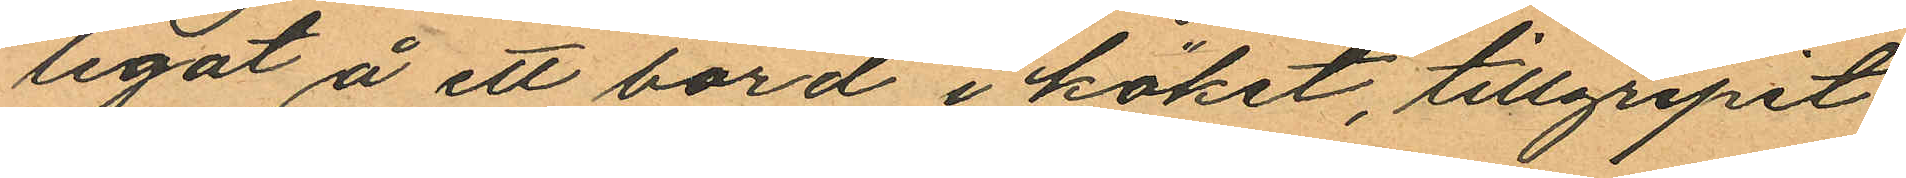legat å ett bord i köket, tillgripit
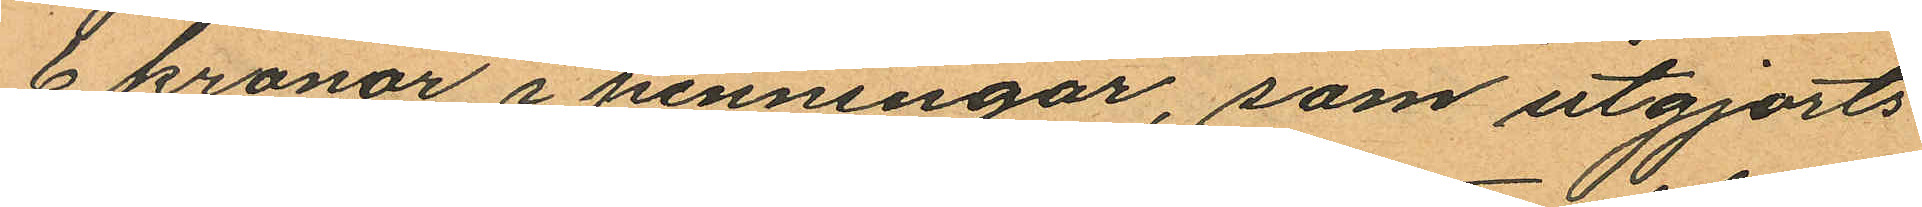6 kronor i penningar, som utgjorts
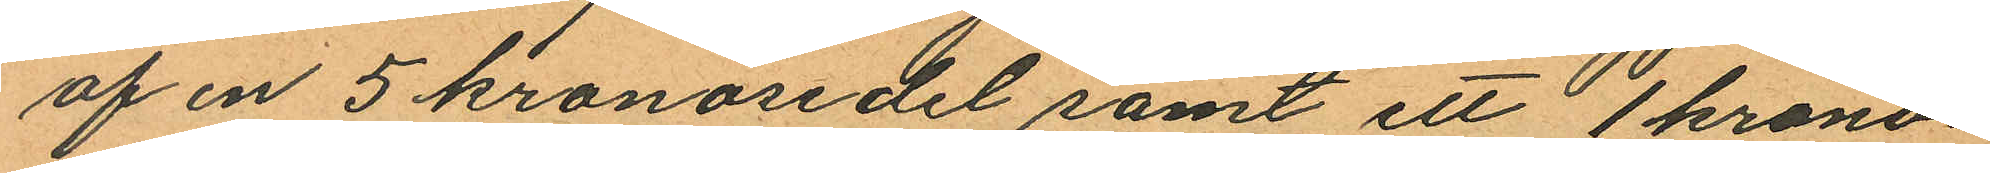af en 5 kronosedel samt ett 1 krono¬
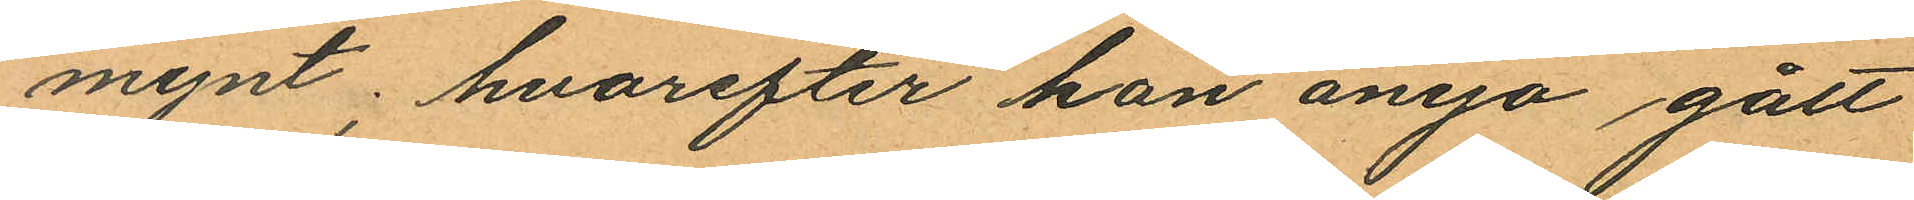mynt, hvarefter han ånyo gått
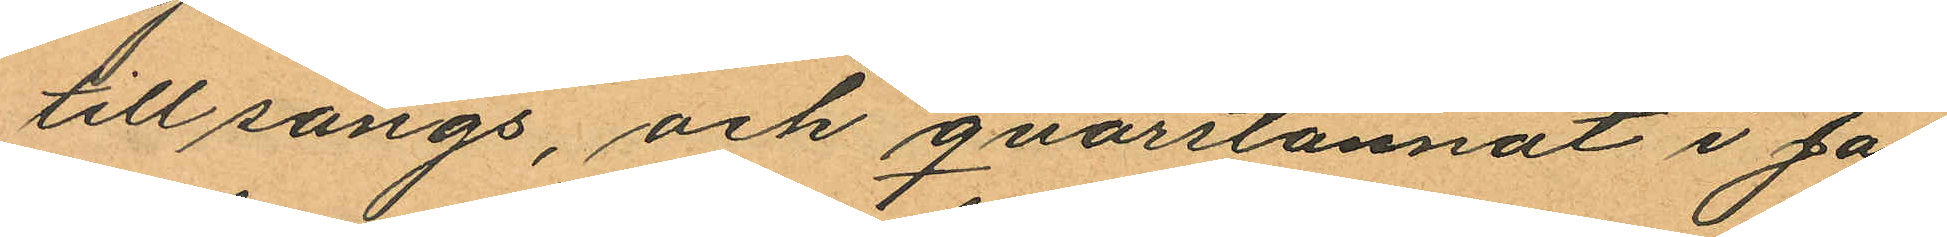till sängs, och qvarstannat i Ja¬
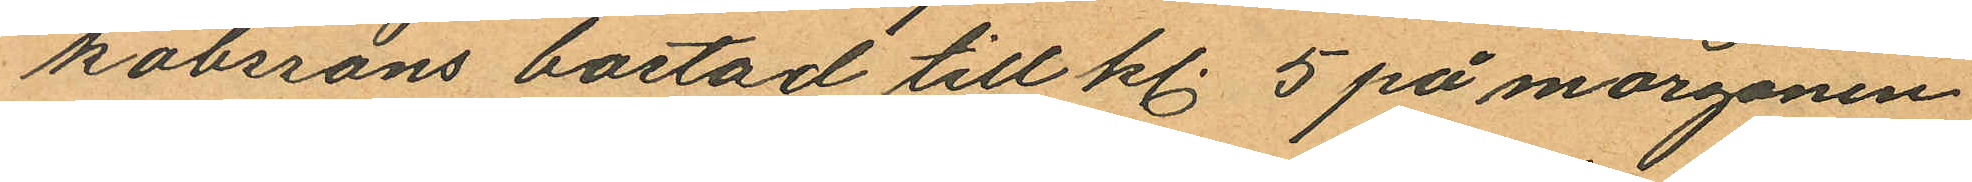kobssons bostad till kl. 5 på morgonen
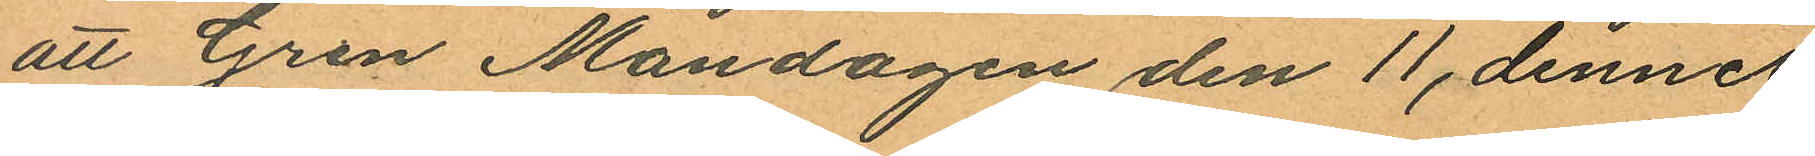att Gren Måndagen den 11 dennes
